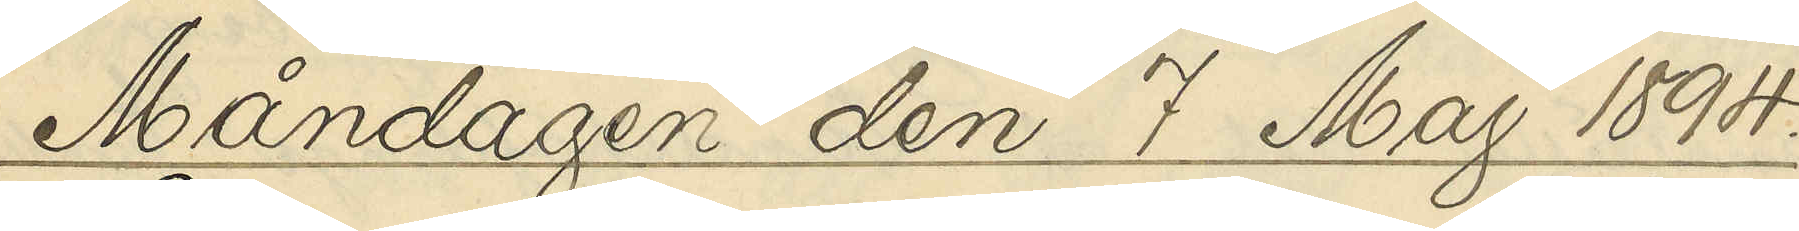Måndagen den 7 Maj 1894.
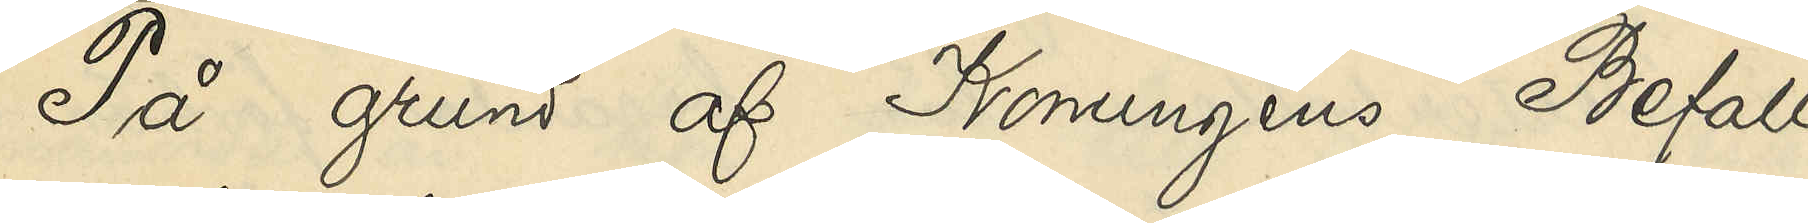På grund af Konungens Befall¬
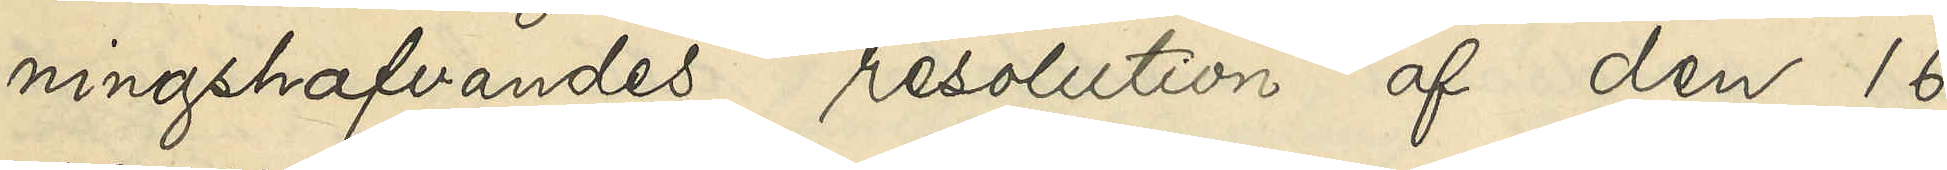ningshafvandes resolution af den 16
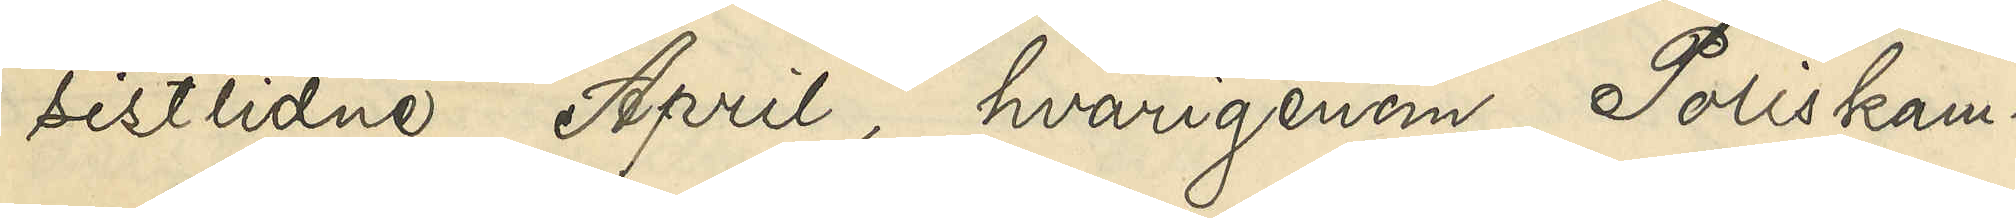sistlidne April, hvarigenom Poliskam¬
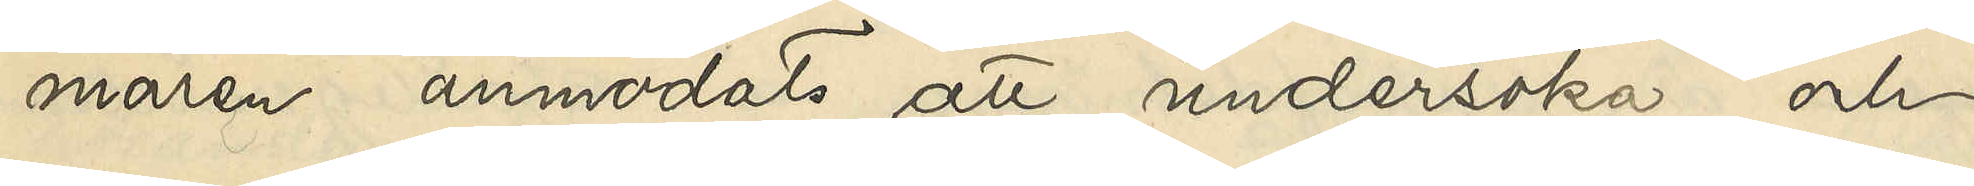maren anmodats att undersöka och
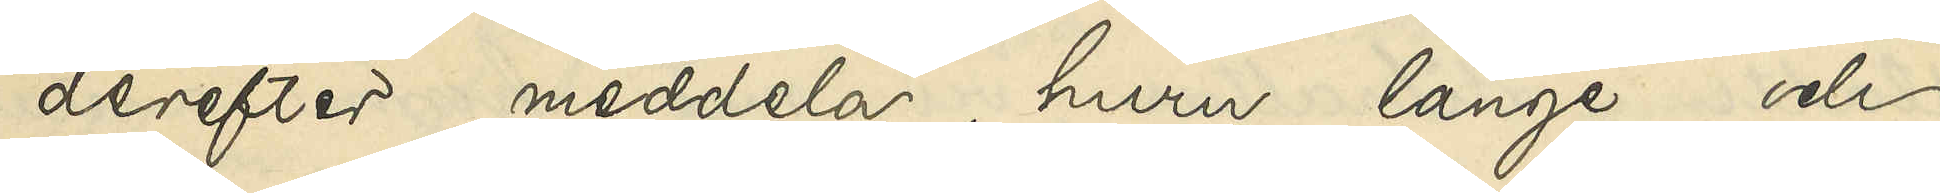derefter meddela, huru länge och
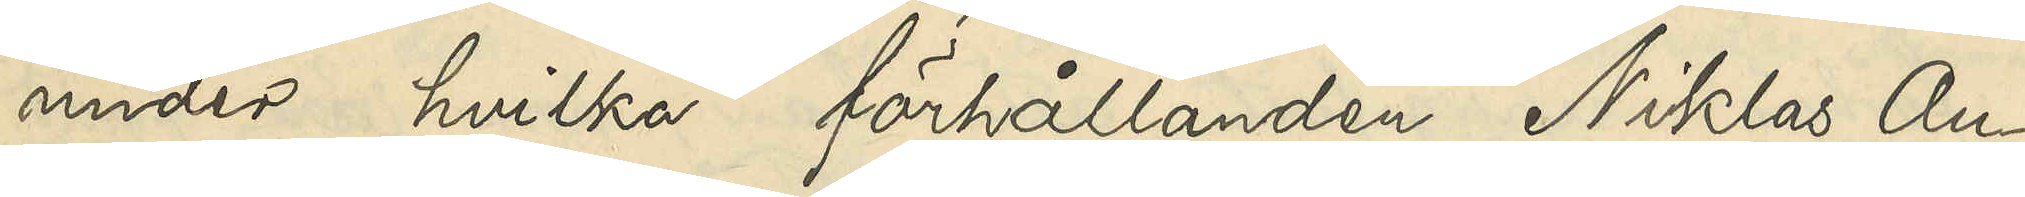under hvilka förhållanden Niklas An¬
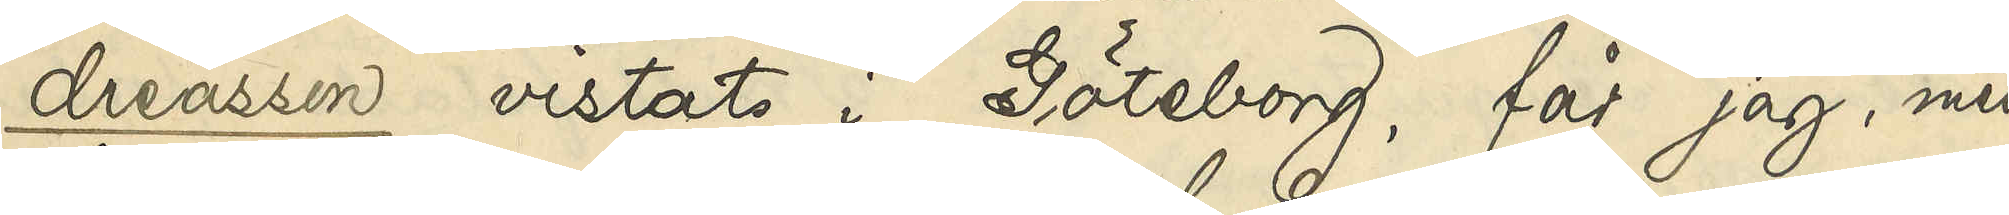dreasson vistats i Göteborg, får jag, med
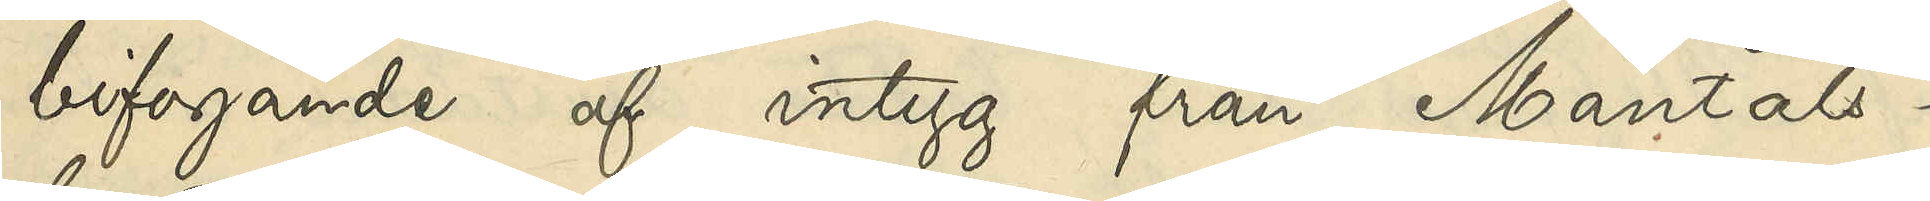bifogande af intyg från Mantals¬
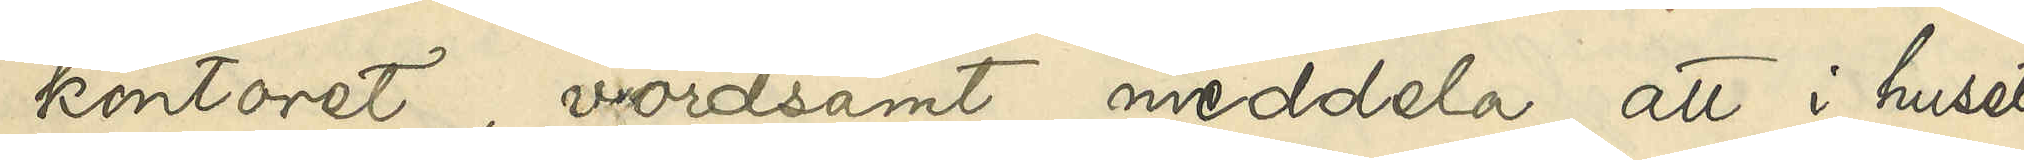kontoret, vördsamt meddela, att i huset
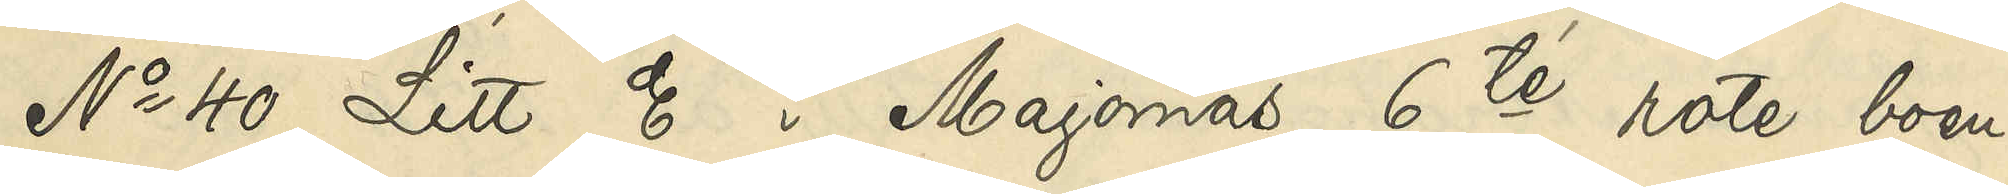No 40 Litt. E i Majornas 6te rote boen¬
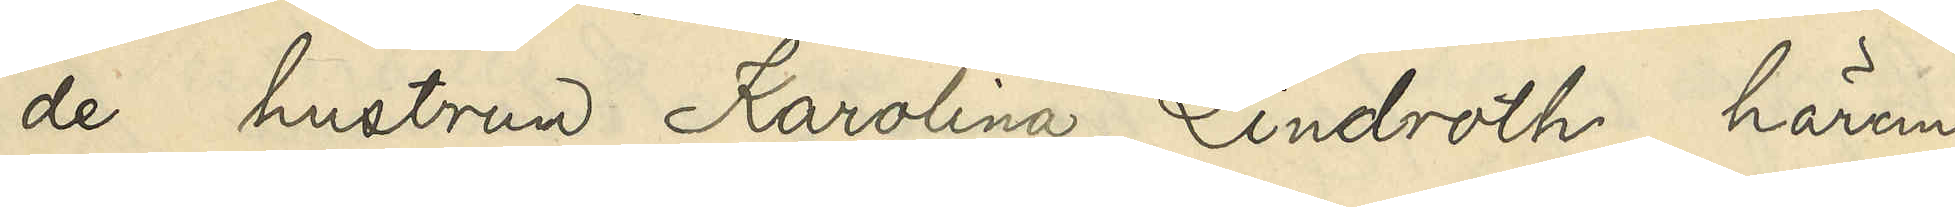de hustrun Karolina Lindroth härom
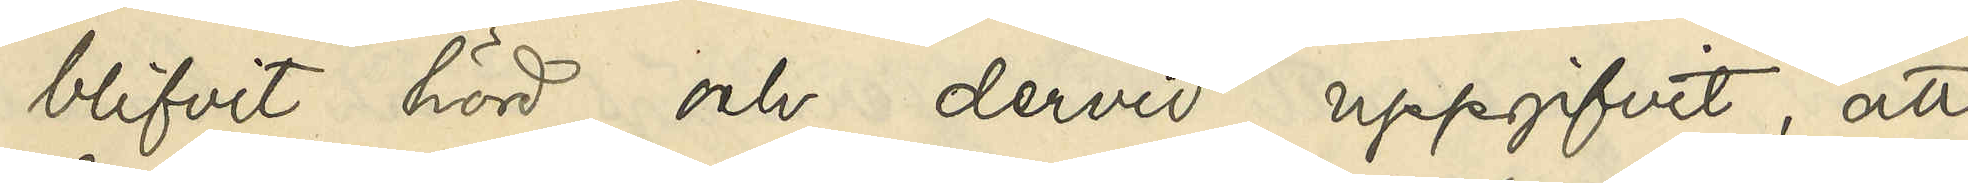blifvit hörd och dervid uppgifvit, att
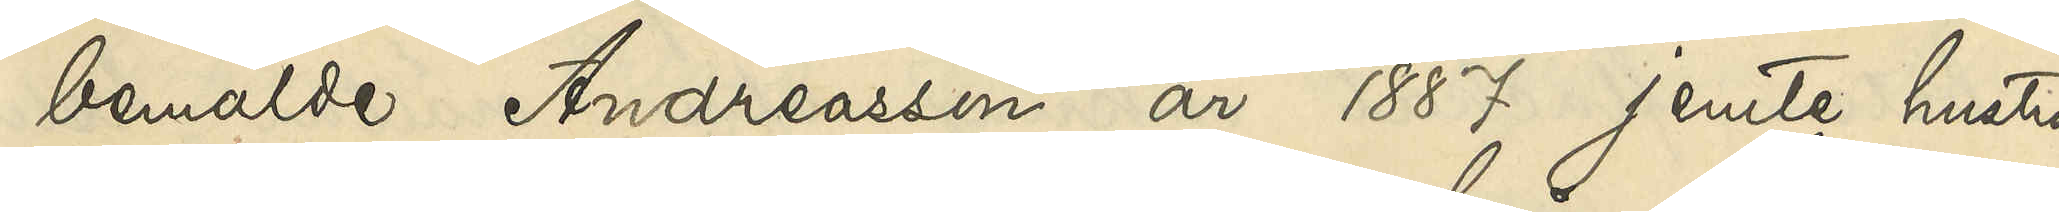bemälde Andreasson år 1887 jemte hustru
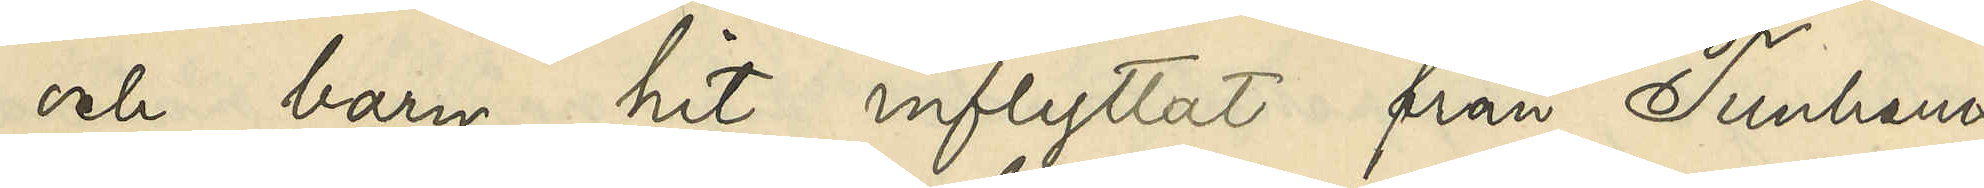och barn hit inflyttat från Tunhems
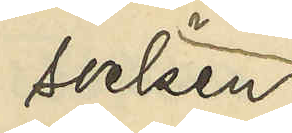socken
